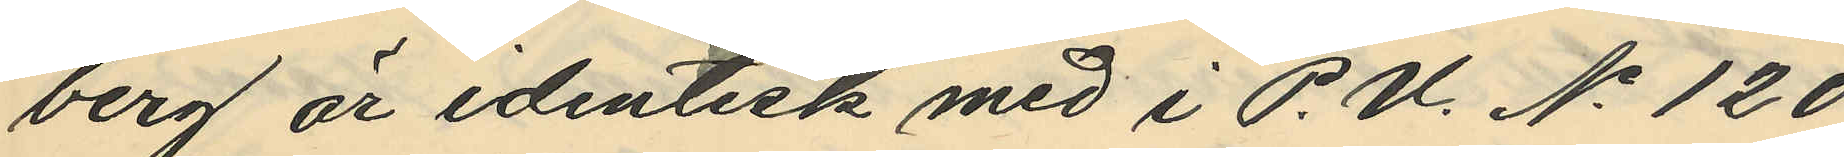berg är identisk med i P.U. No 120
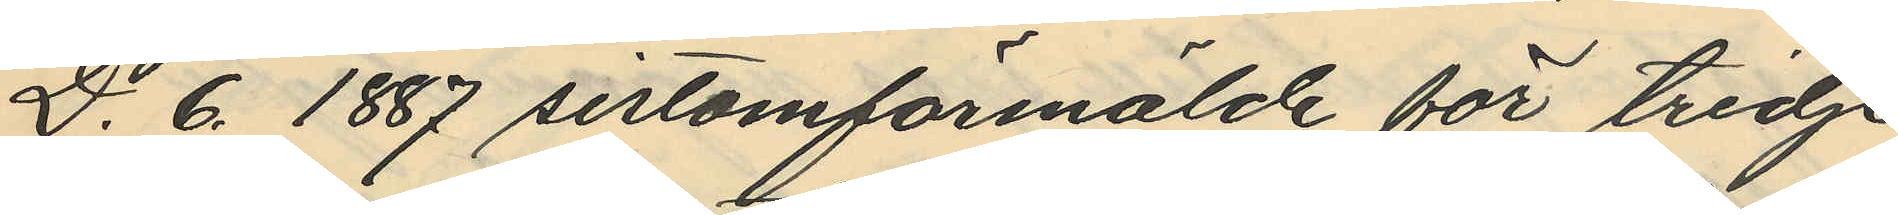D. 6. 1887 sistomförmälde för tredje
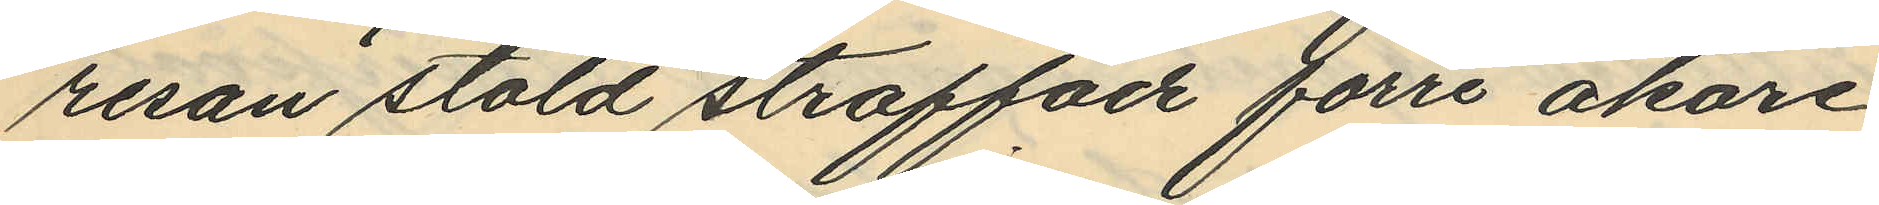resan stöld straffad förre åkare¬
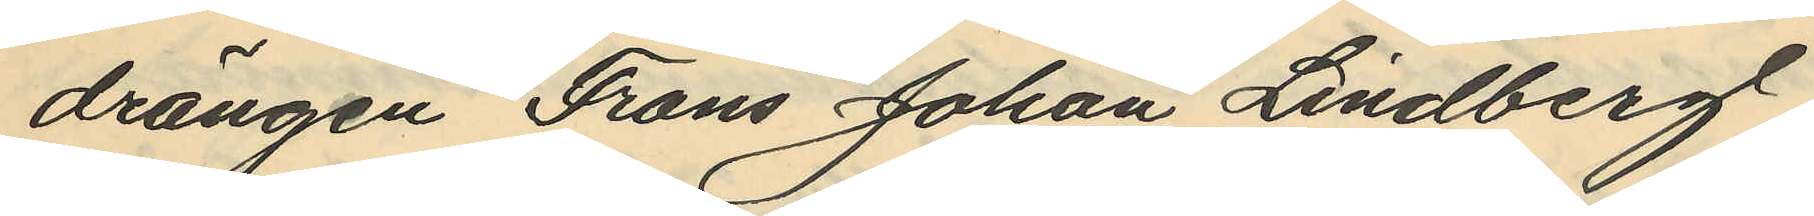drängen Frans Johan Lindberg
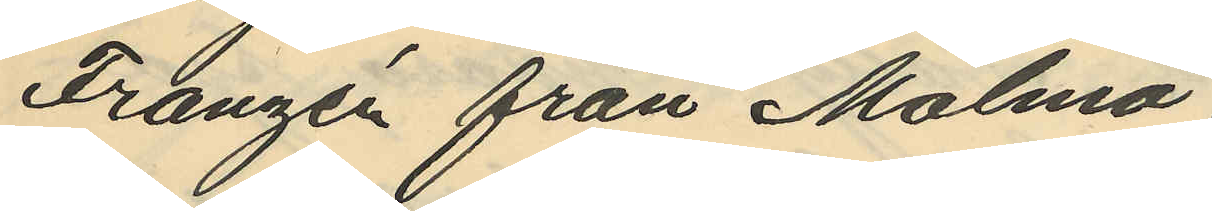Franzén från Malmö.
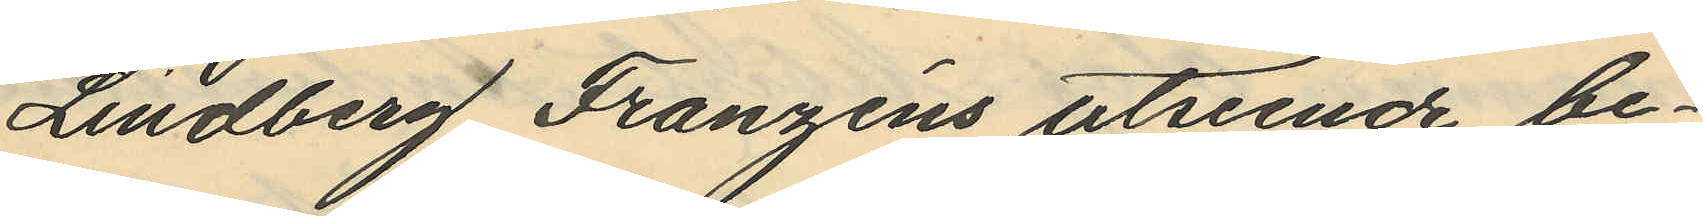Lindberg Franzéns utseende be¬
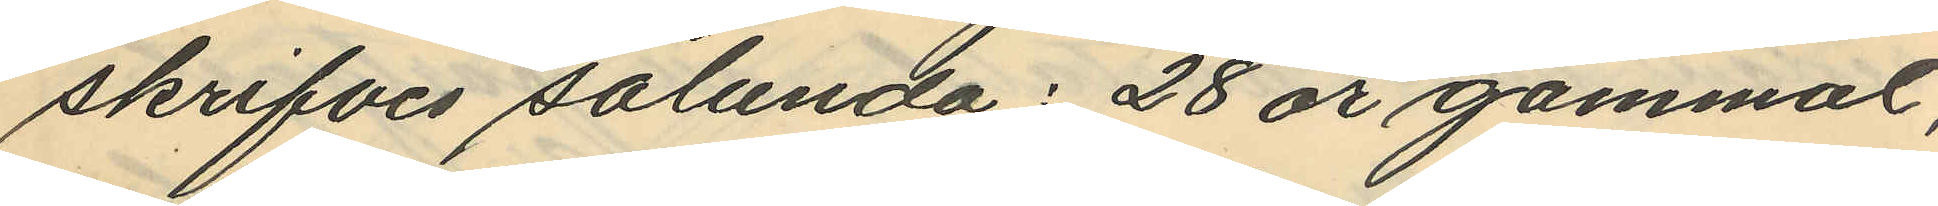skrifves sålunda: 28 år gammal,
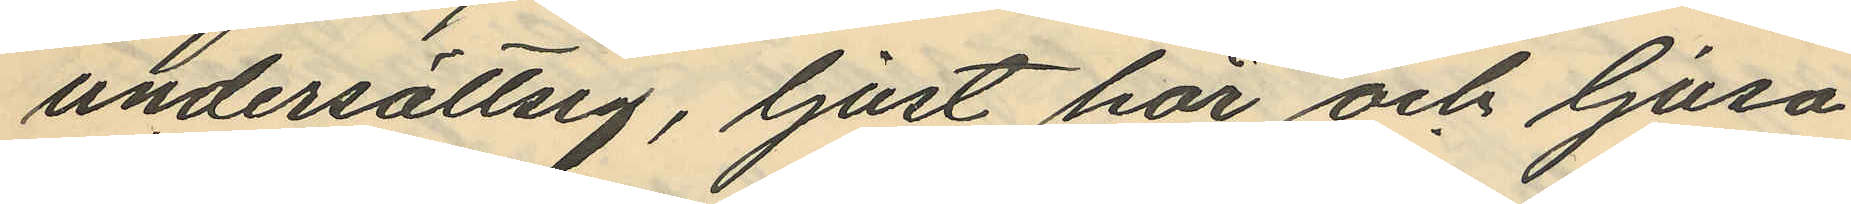undersättsig, ljust hår och ljusa
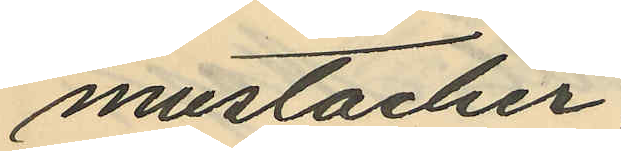mustacher.
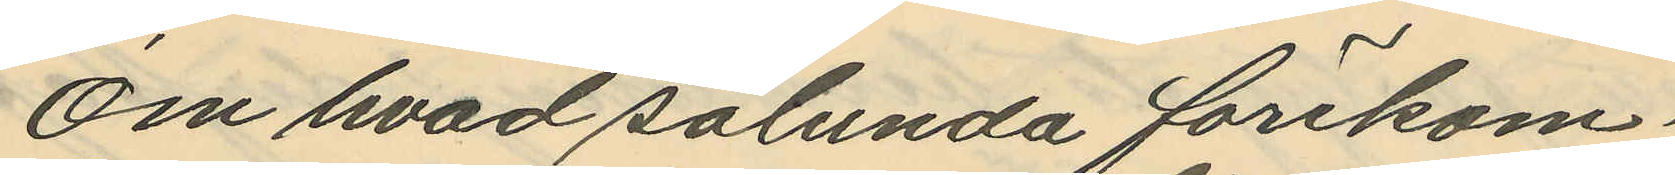Om hvad sålunda förekom¬
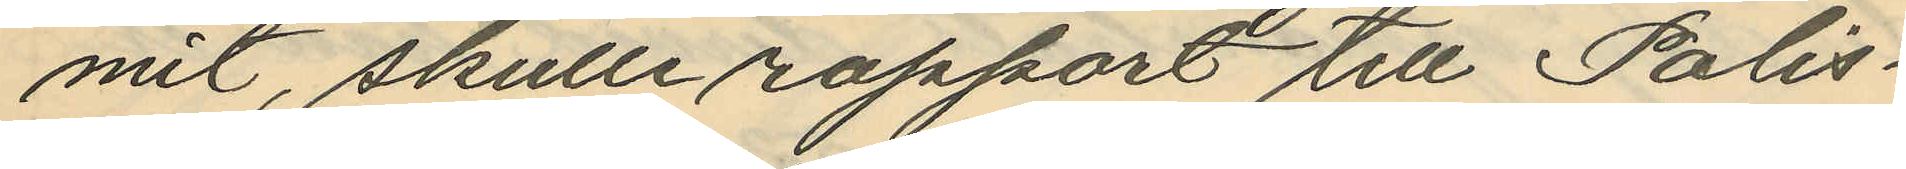mit, skulle rapport till Polis¬
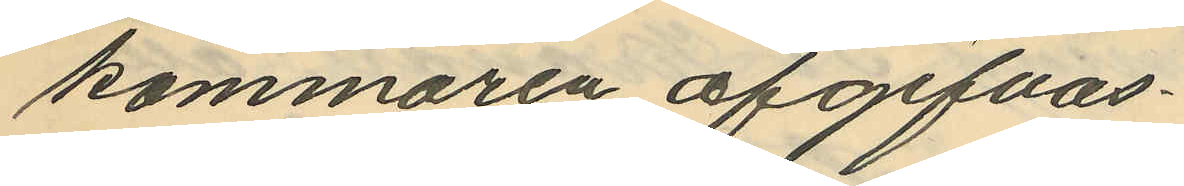kammaren afgifvas.
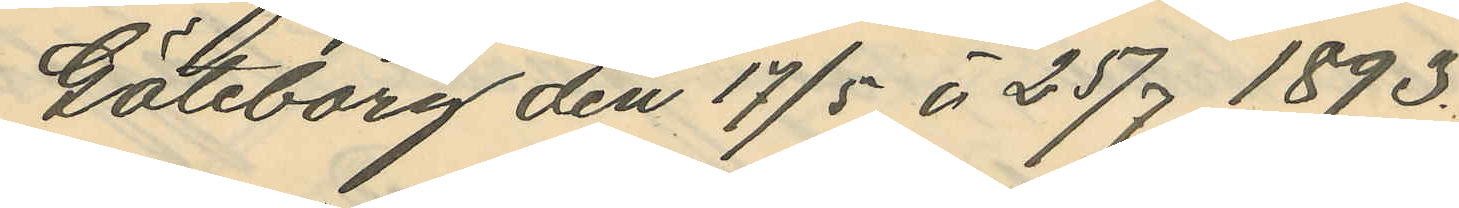Göteborg den 17/5 á 25/7 1893.
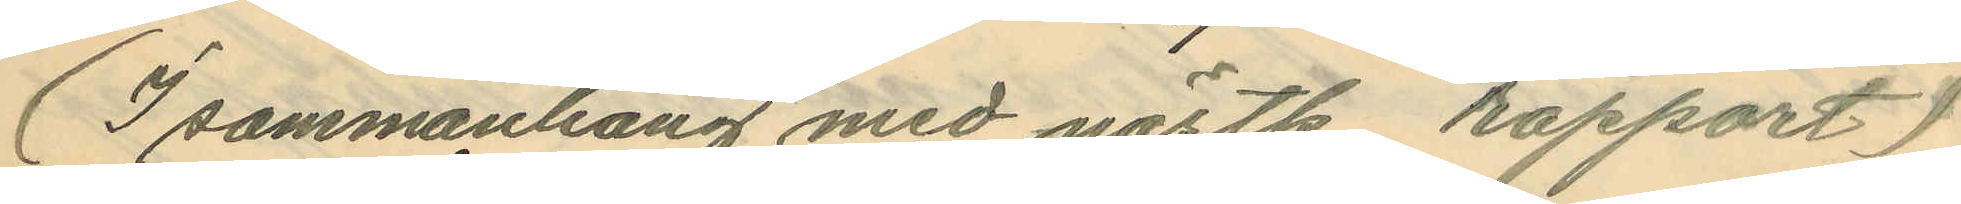(I sammanhang med nästk. rapport.)
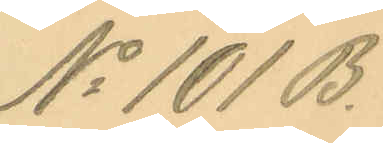No 101 B.
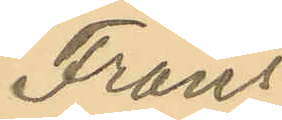Frans
